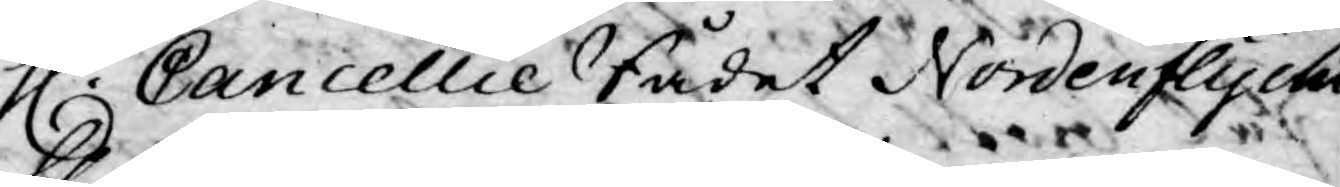H. Cancellie Rådet Nordenflycht
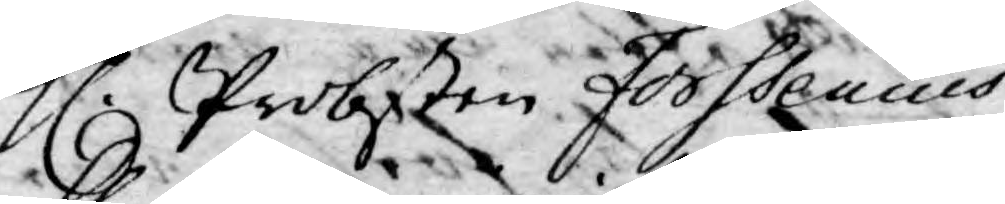H. Probsten Forssenius,
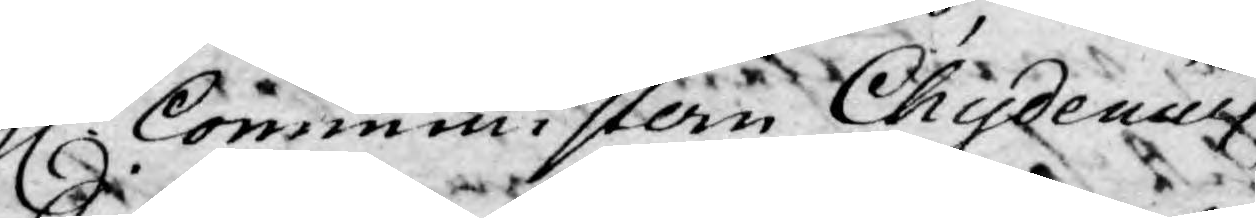Comministern Chydenius,
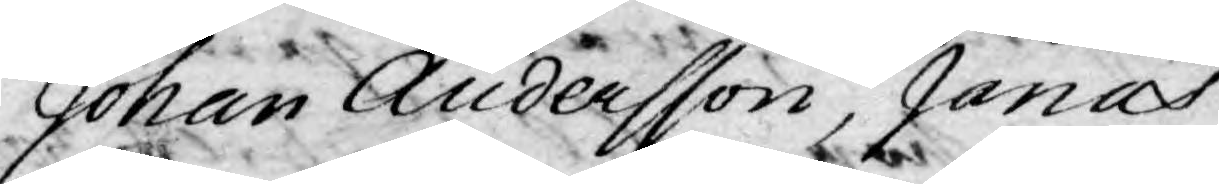Johan Andersson, Jonas
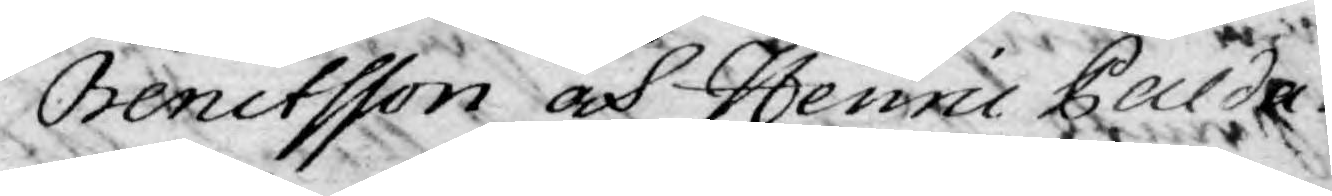Benctsson och Henric Palda¬
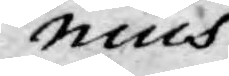nius.
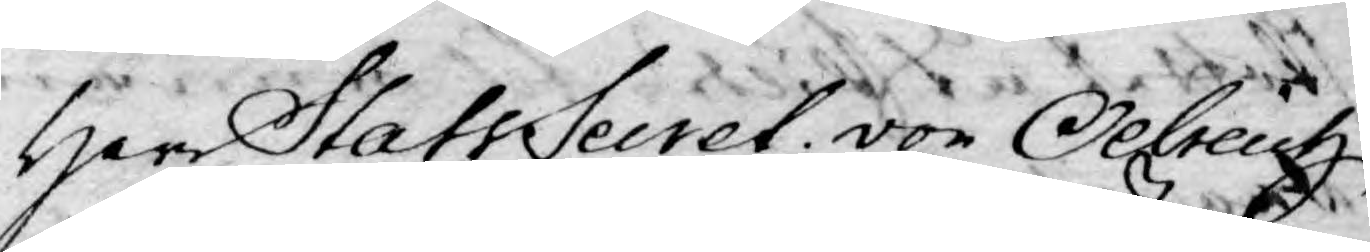Herr StatsSecret. von Oelreich
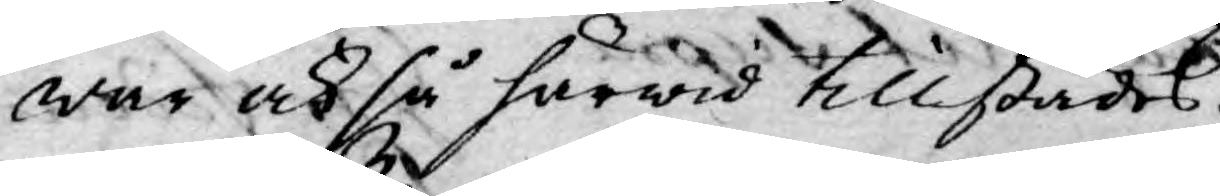war ock så härwid tillstädes.
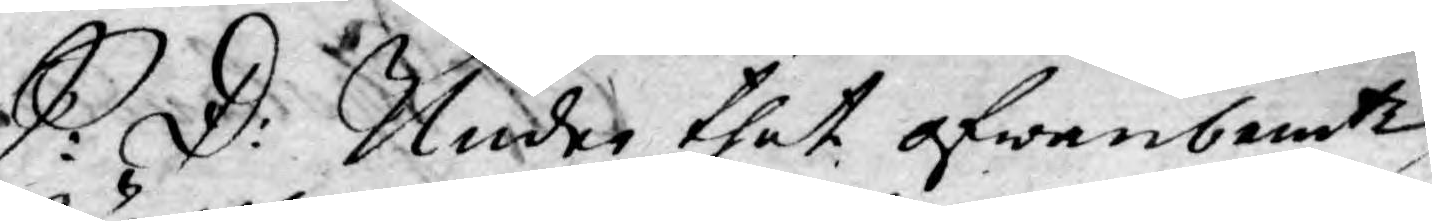S: D: Under thet ofwanbemte
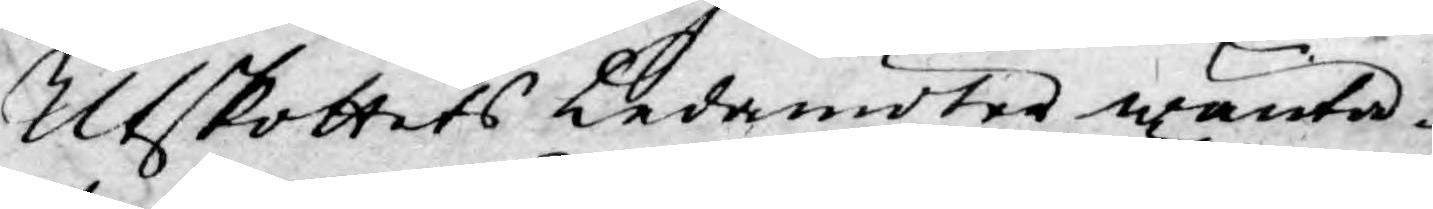Utskottets Ledamöter wänta¬
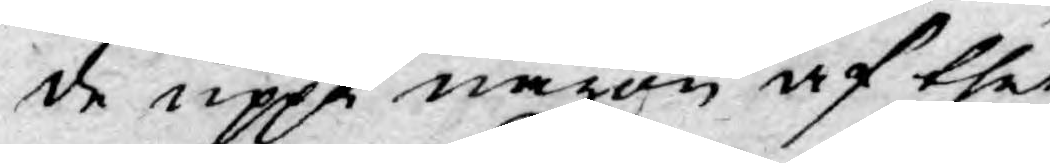de uppå någon af thet
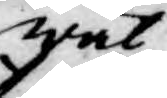wäl
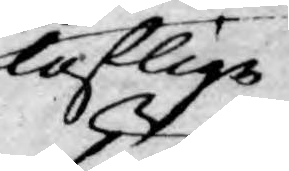loflige
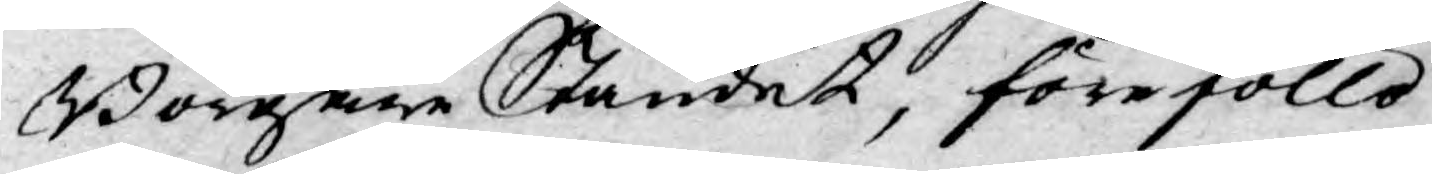Borgare Ståndet, föreföllo
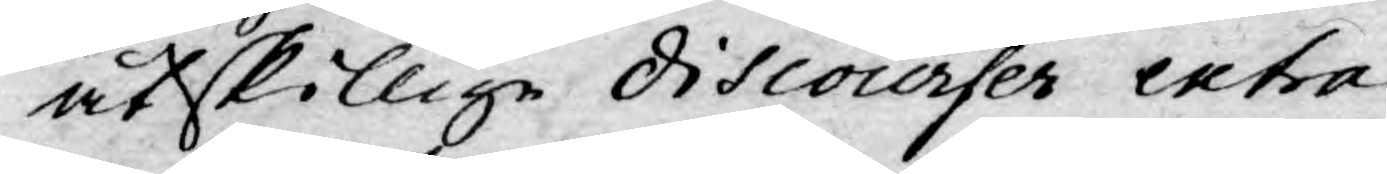åtskillige discourser extra
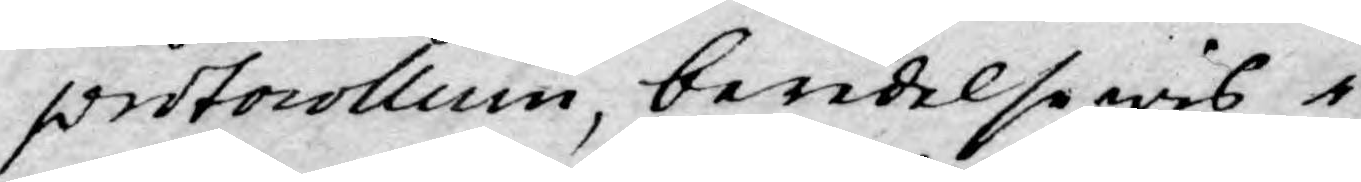protocollum, beredelse wis i
